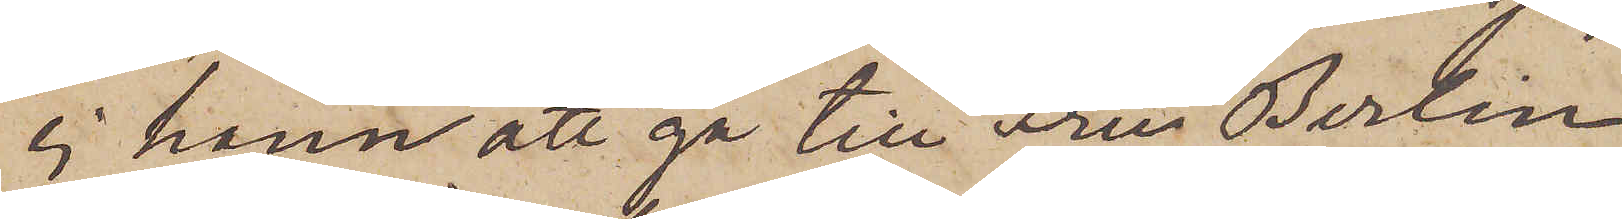ej hann att gå till Fru Berlin
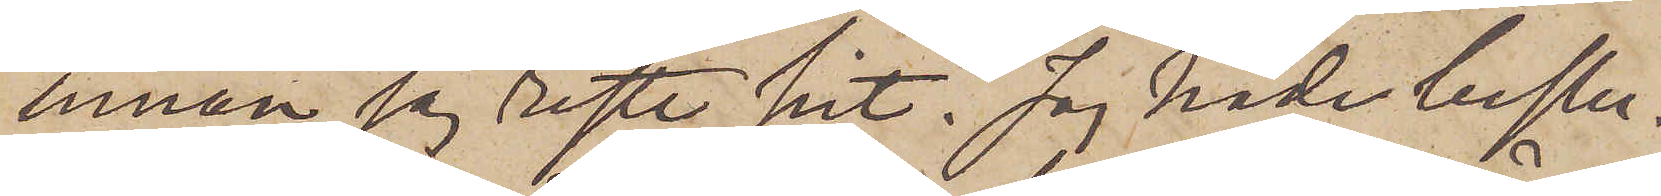innan jag reste hit. Jag hade beslu¬
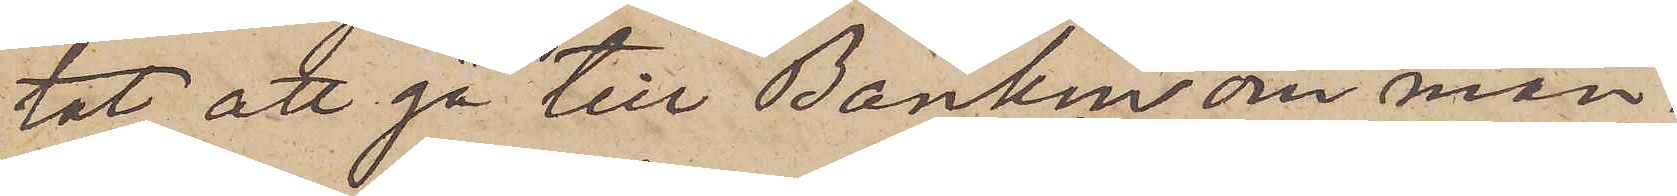tat att gå till Banken om mån¬
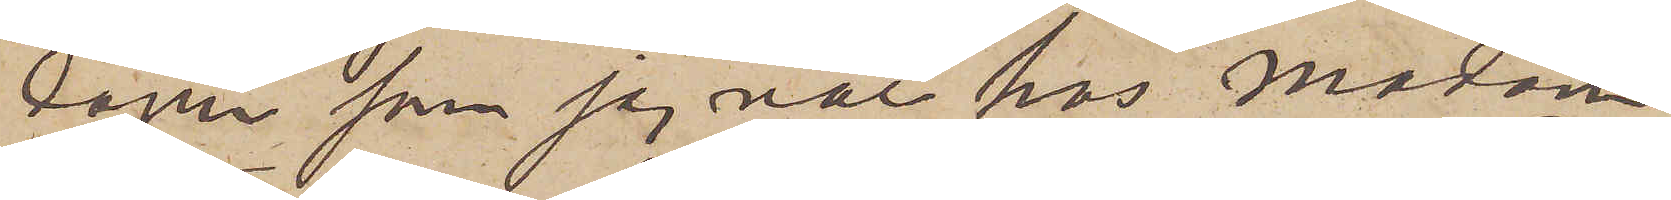dagen som jag var hos Madam
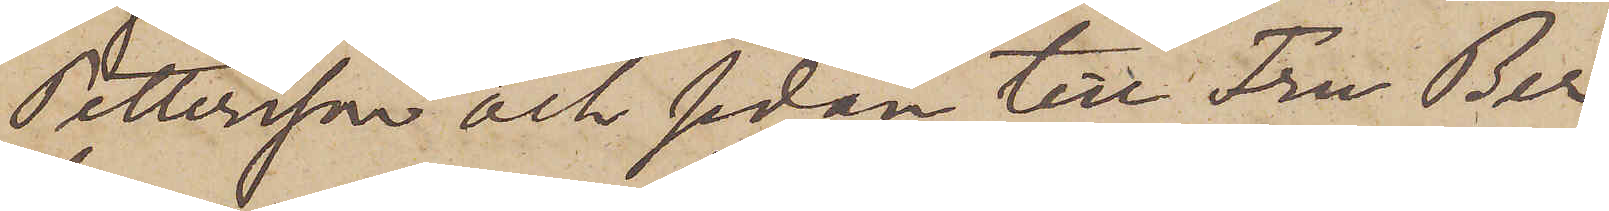Pettersson och sedan till Fru Ber¬
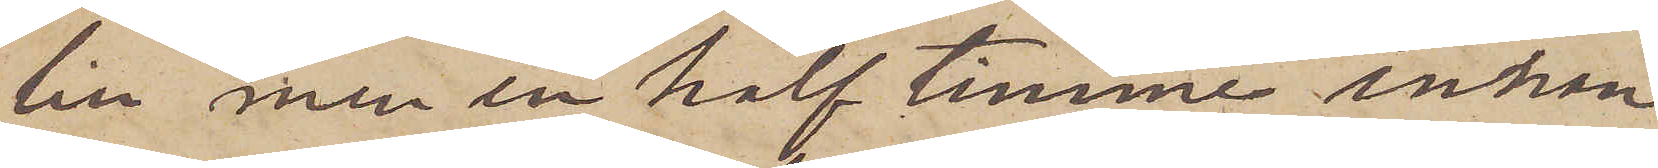lin, men en half timme innan
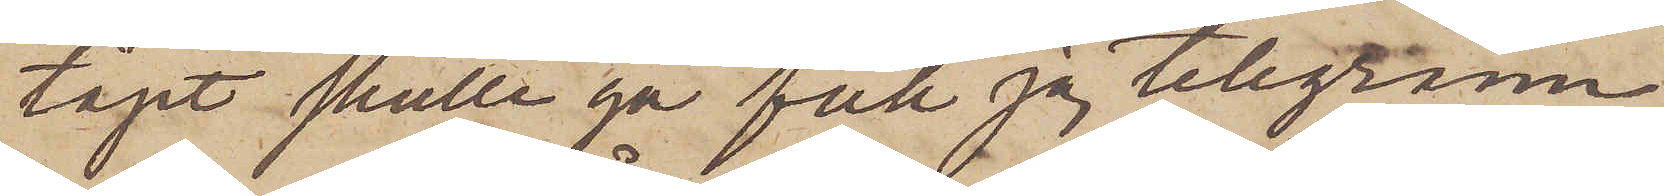tåget skulle gå fick jag telegram
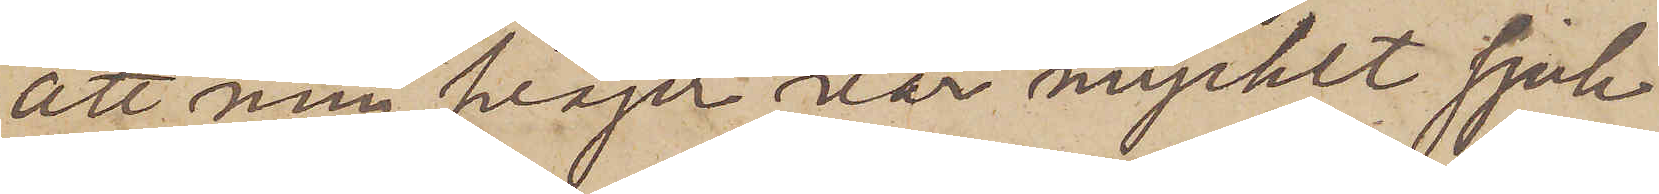att min svåger var mycket sjuk
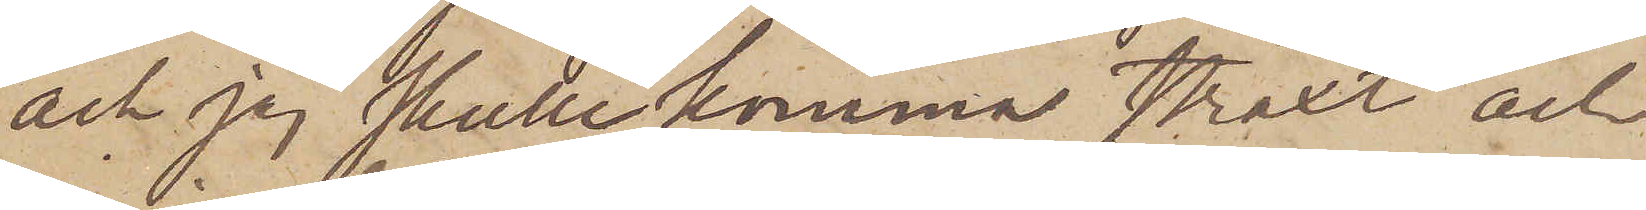och jag skulle komma straxt och
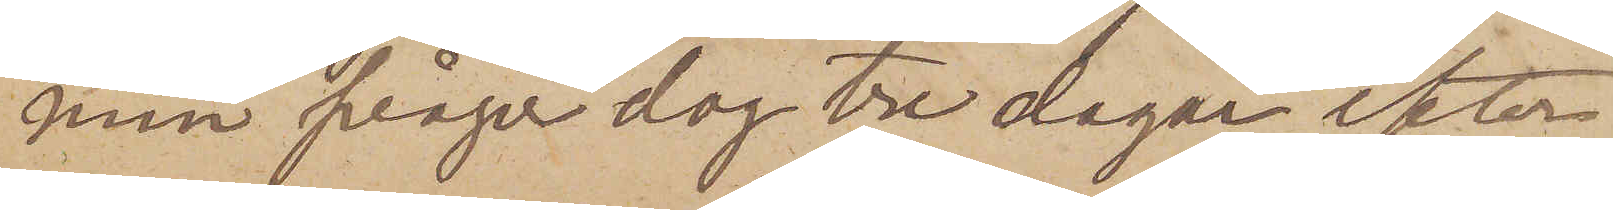min svåger dog tre dagar efter
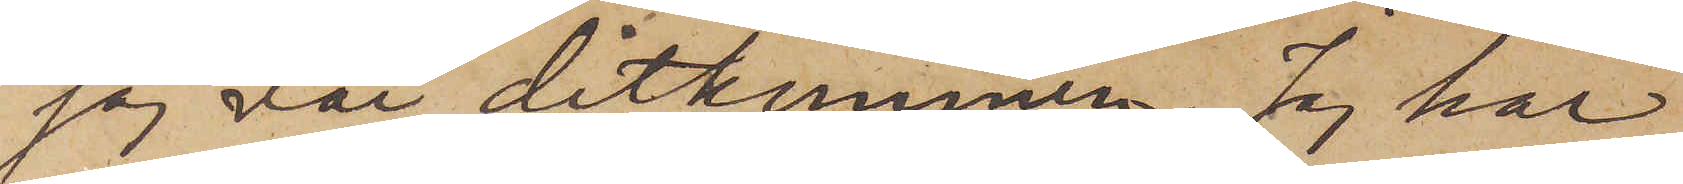jag var ditkommen. Jag har
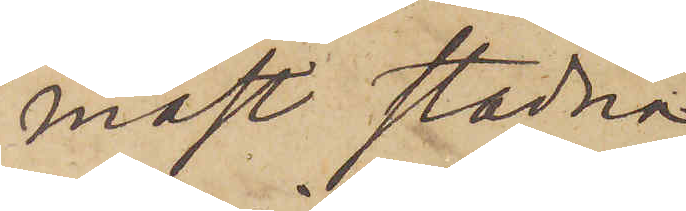måst stadna
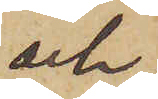och
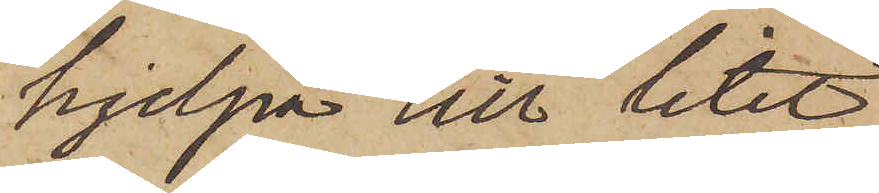hjelpa till litet
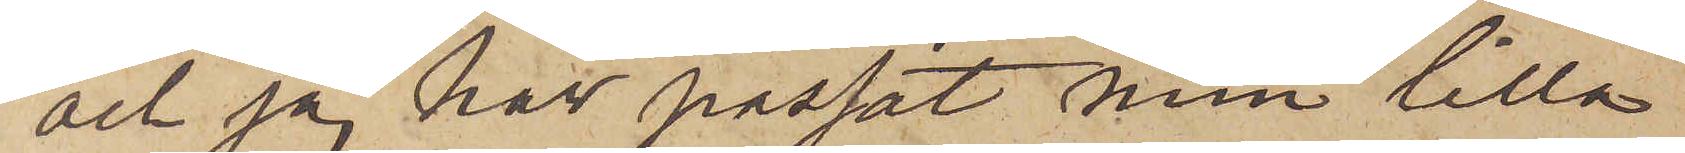och jag har passat min lilla
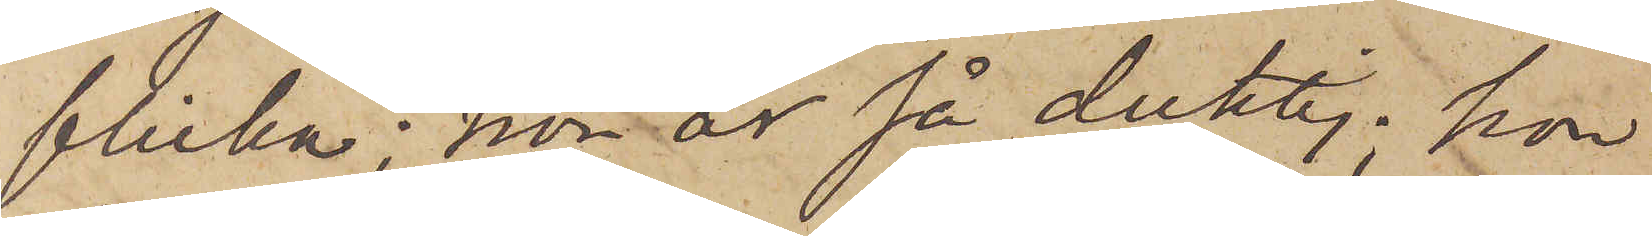flicka; hon är så duktig; hon
